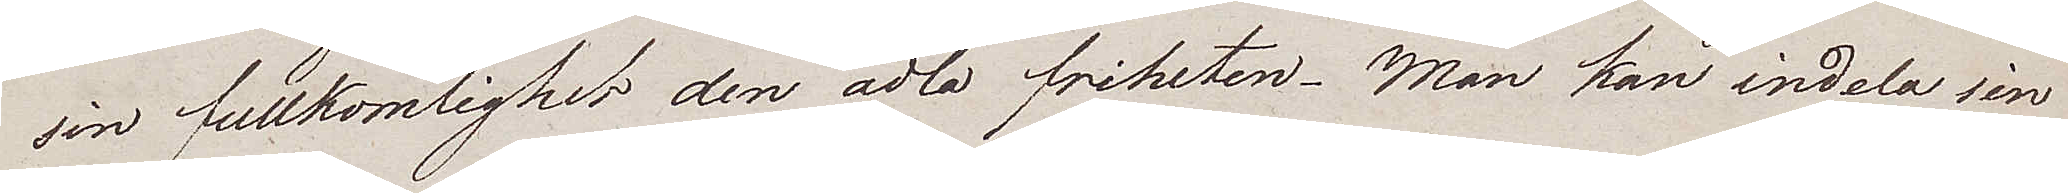sin fullkomlighet den ädla friheten. Man kan indela sin
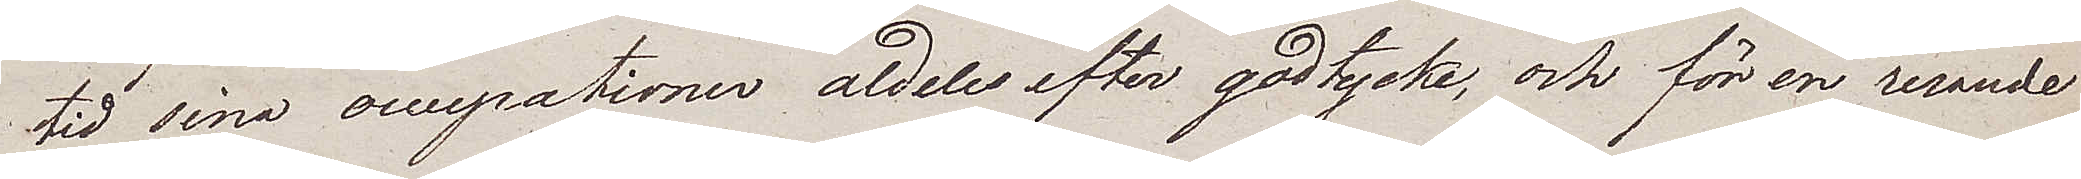tid sina occupationer aldeles efter godtycke, och för en resande
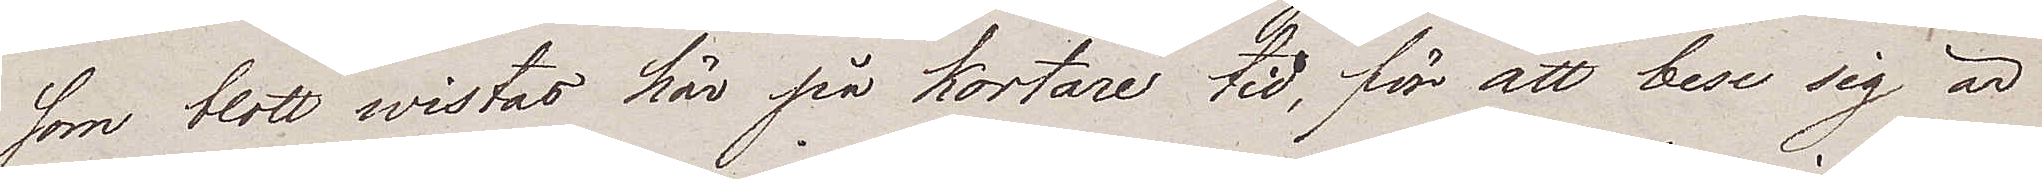som blott wistas här på kortare tid, för att bese sig är
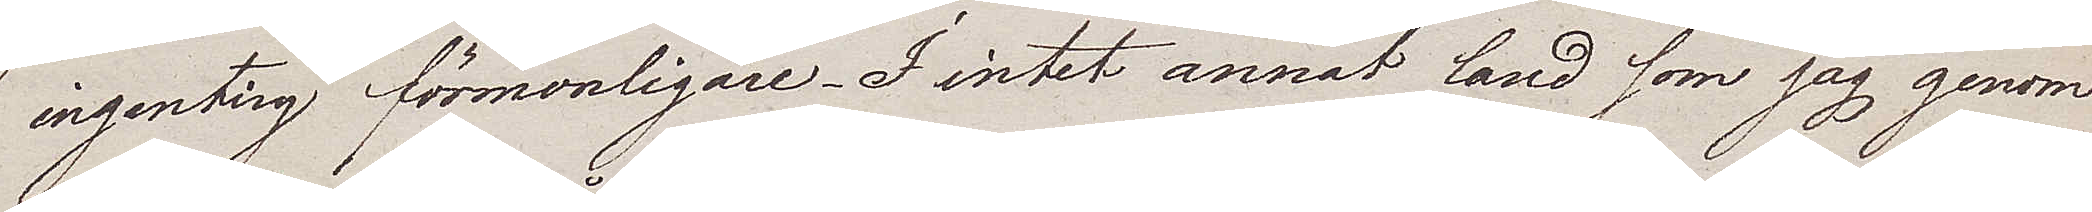ingenting förmonligare. I intet annat land som jag genom¬
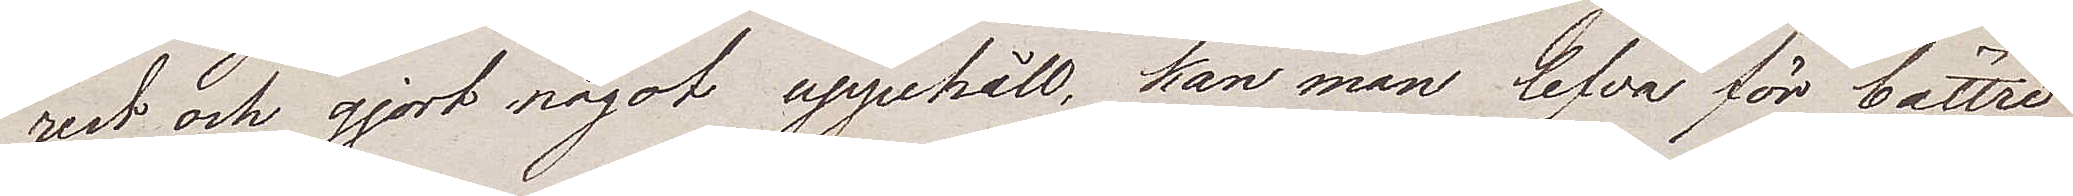rest och gjort något uppehåll, kan man lefva för bättre
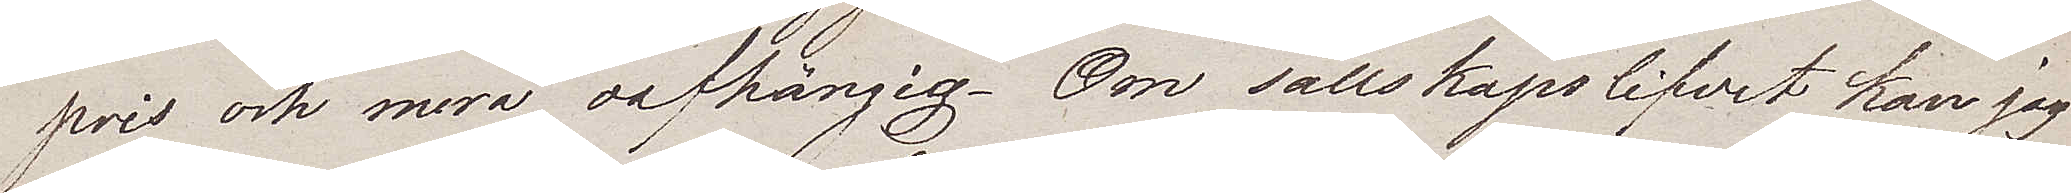pris och mera oafhängig. Om sällskapslifvet kan jag
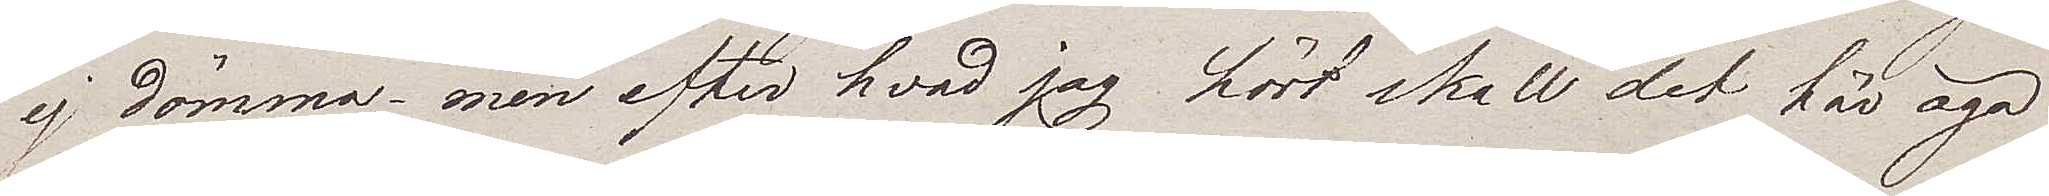ej dömma – men efter hvad jag hört skall det här äga
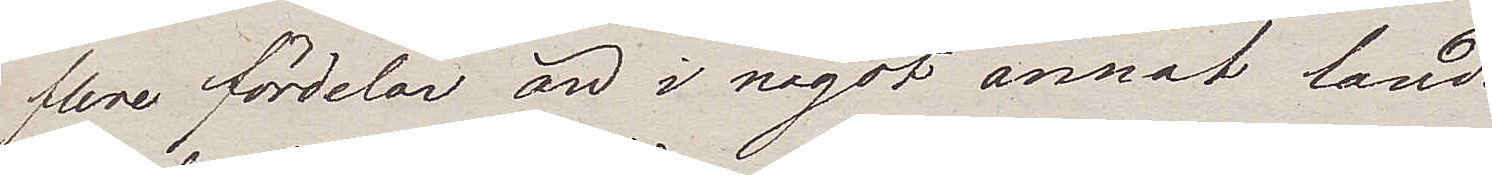flere fördelar än i något annat land.
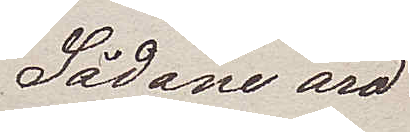Sådane äro
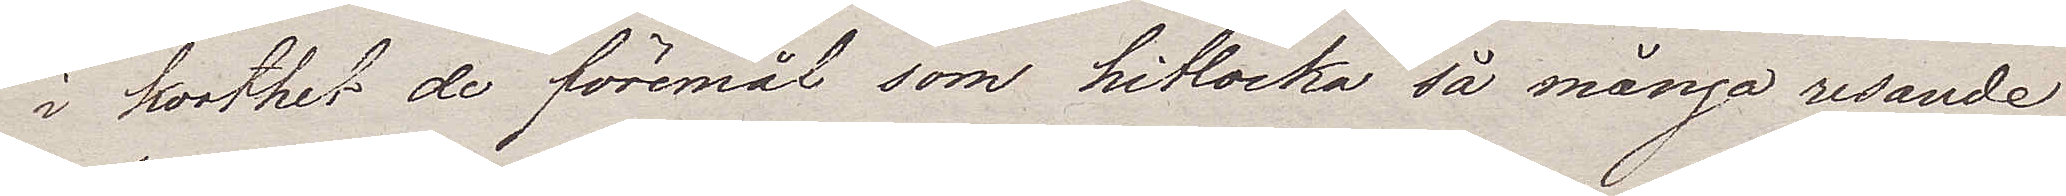i korthet de föremål som hitlocka så många resande
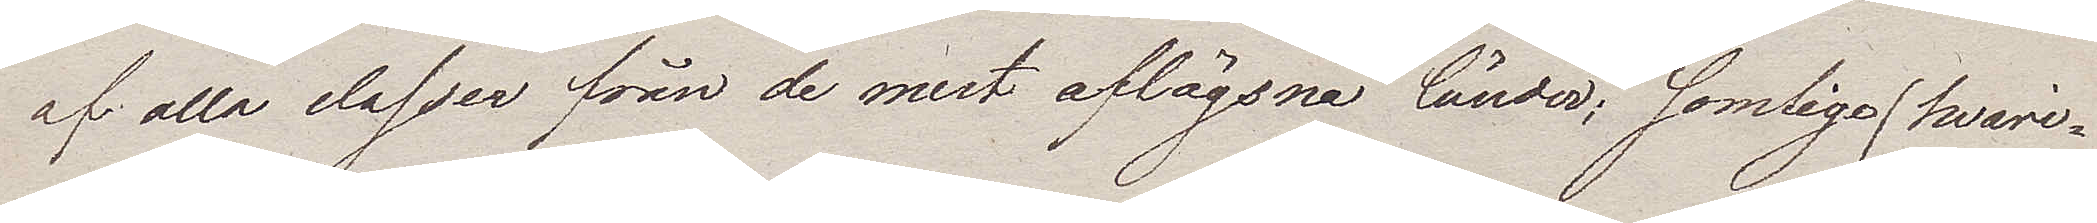af alla classer från de mest aflägsna länder; somlige, hvari¬
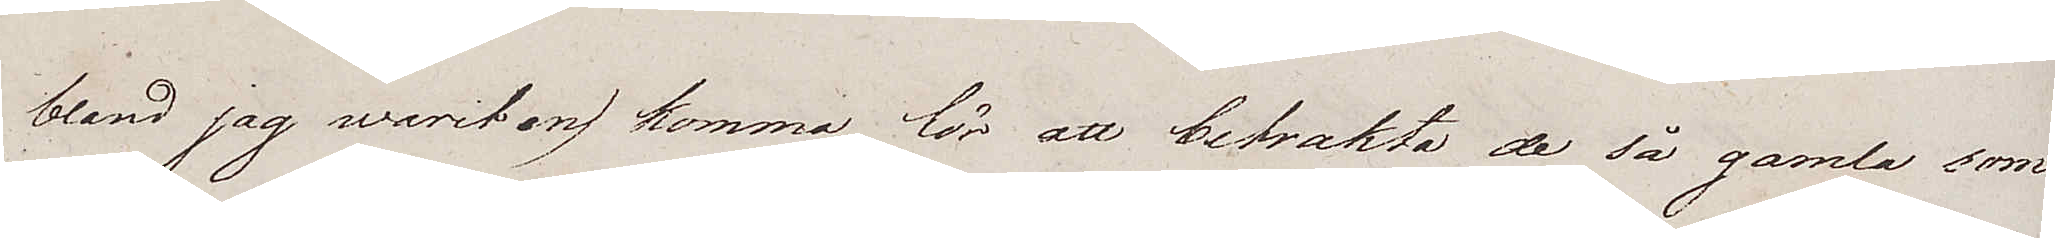bland jag warit en) komma för att betrakta de så gamla som
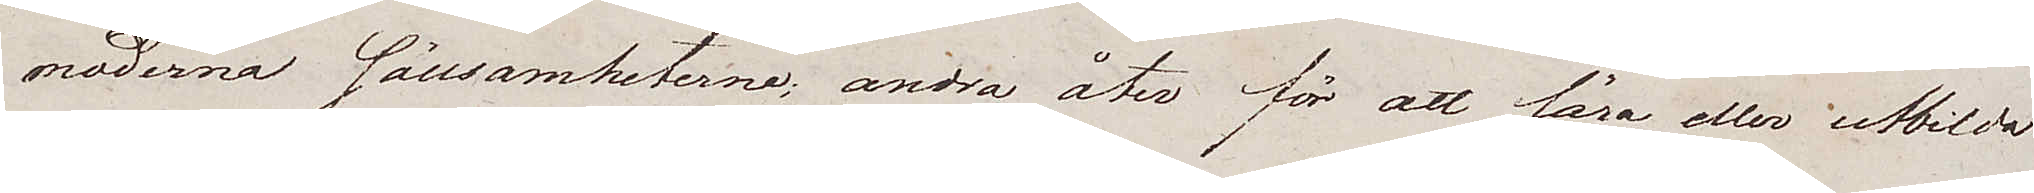moderna sällsamheterne; andra åter för att läsa eller utbilda
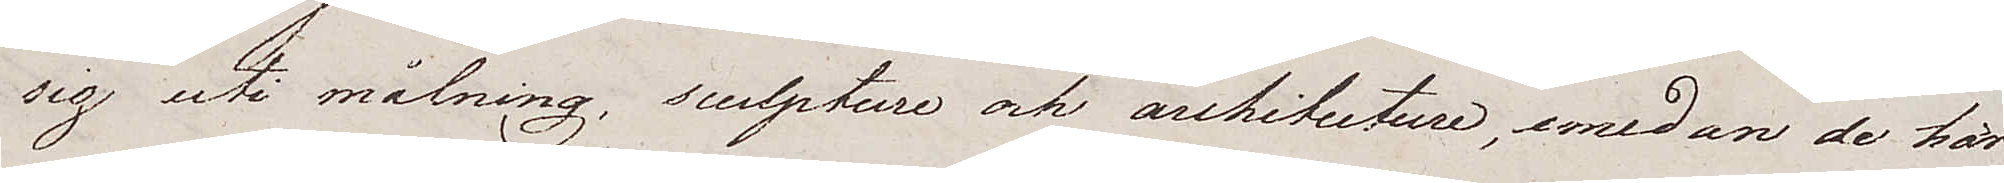sig uti målning, sculpture och architecture, emedan de här
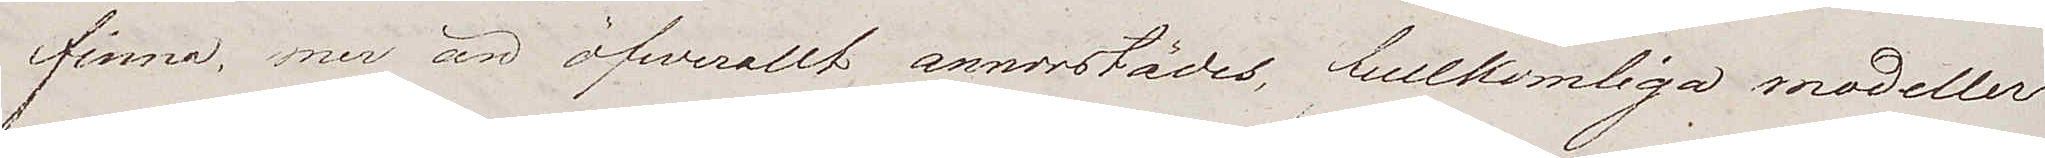finna mer än öfwerallt annorstädes, fullkomliga modeller
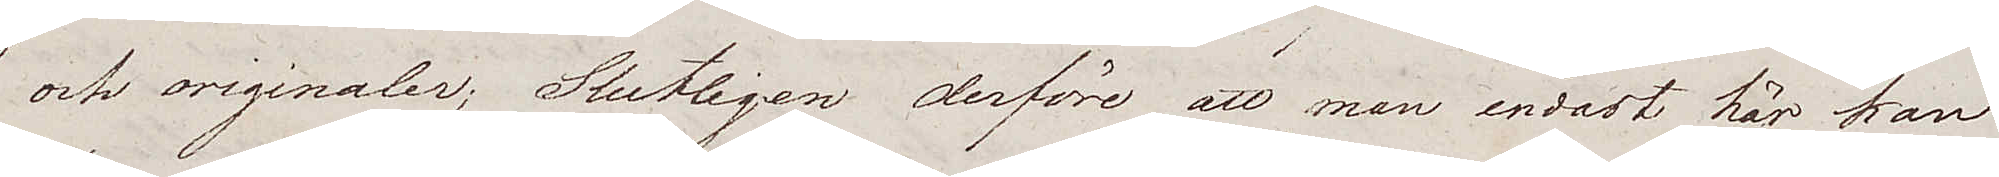och originaler; Slutligen derföre att man endast här kan
